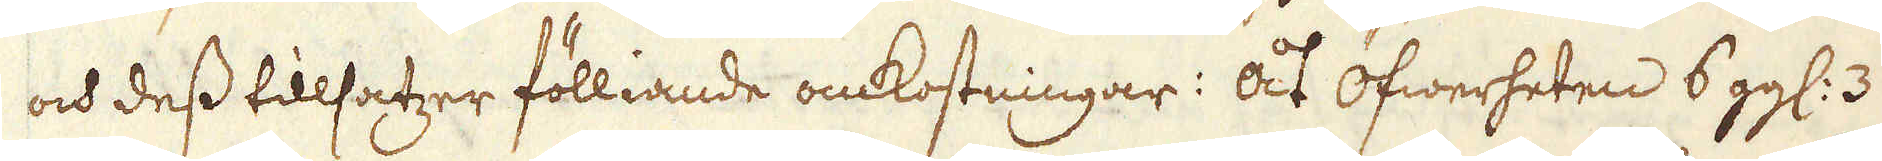och dess tillsatzer fölliande omkostningar: åt öfwerheten 6 gg: 3
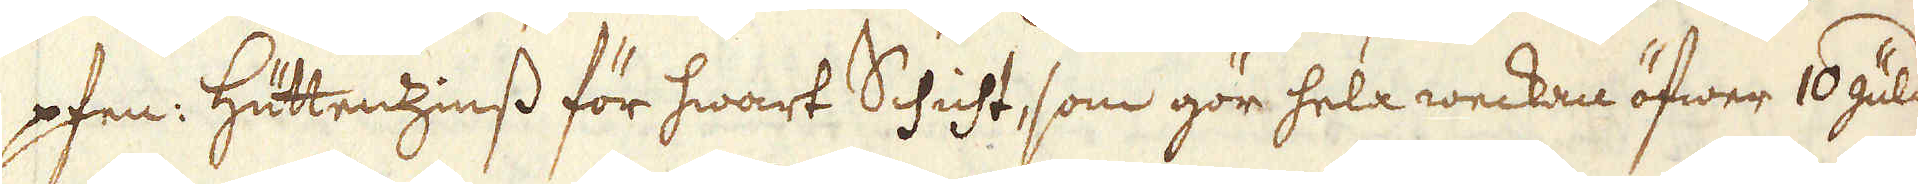pfen: Hüttenzinss för hwart Schicht, som gör hela weckan öfwer 16 guld
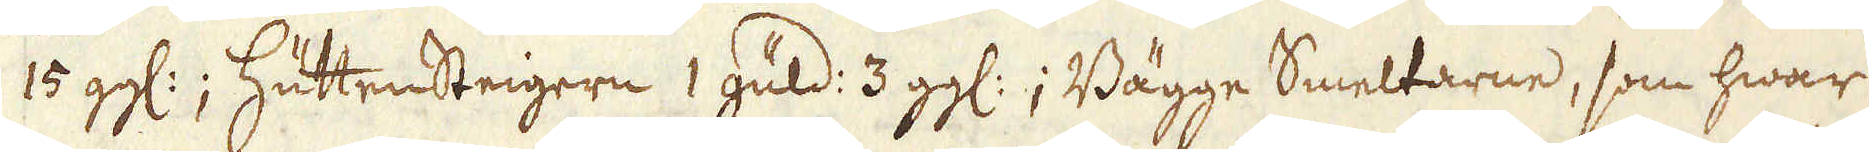15 gg:; HüttensSteigern 1 güld: 3 gg:; Bägge Smeltarne, som hwar
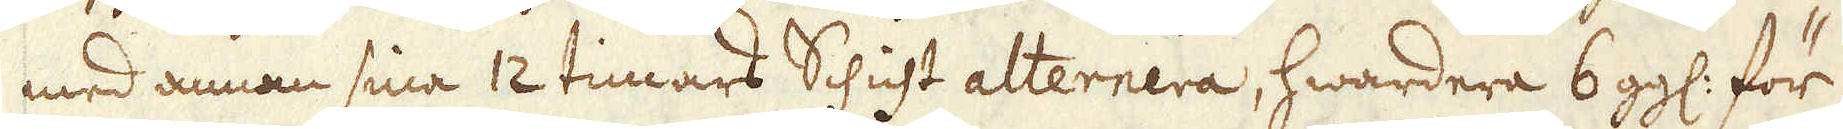med annan sina 12 timars Schicht alternera, hwardera 6 gg: för
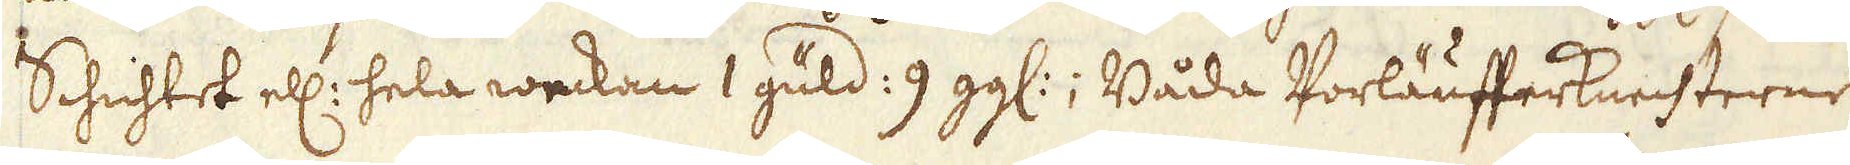Schichtet ell: hela weckan 1 güld: 9 gg:; Båda Vorläufferknechterne
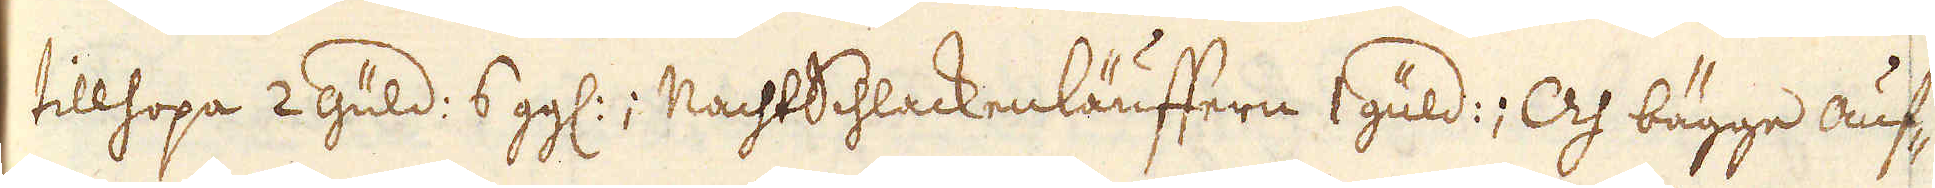tillhopa 2 güld: 6 gg:; MachtSchlackenläuffern 1 güld:; Och bägge auf-
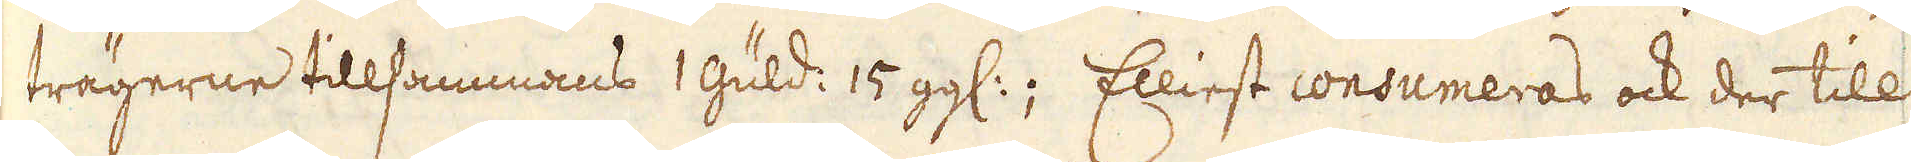trägerne tillsammans 1 guld: 15 gg:; Elliest consumeras ock der till
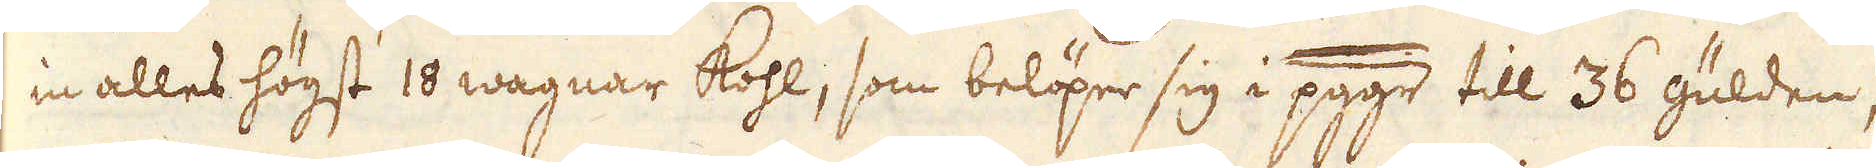in alles högst 10 wagnar kohl, som belöper sig i pggr till 36 gulden,
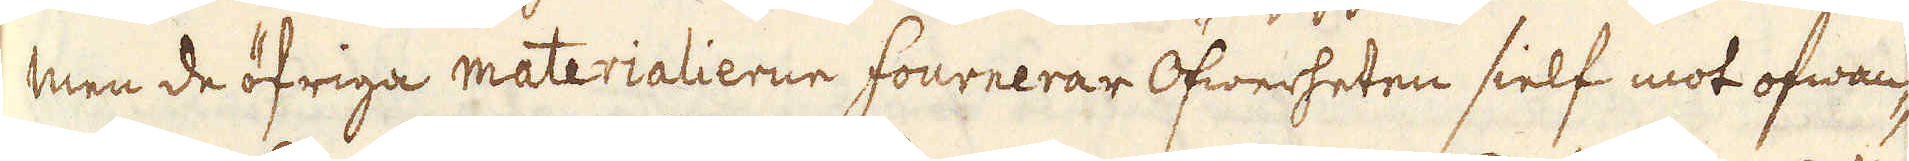men de öfriga materialierne fournerar Öfwerheten sielf mot ofwan-
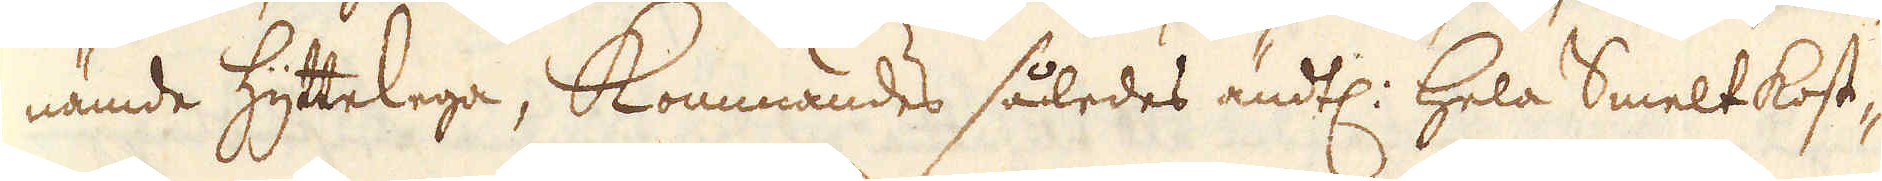nämde hyttelega, kommandes således ändtl: hela Smeltkost-
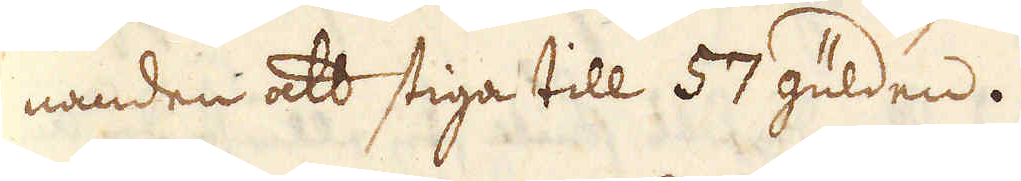nanden att stiga till 57 gulden.
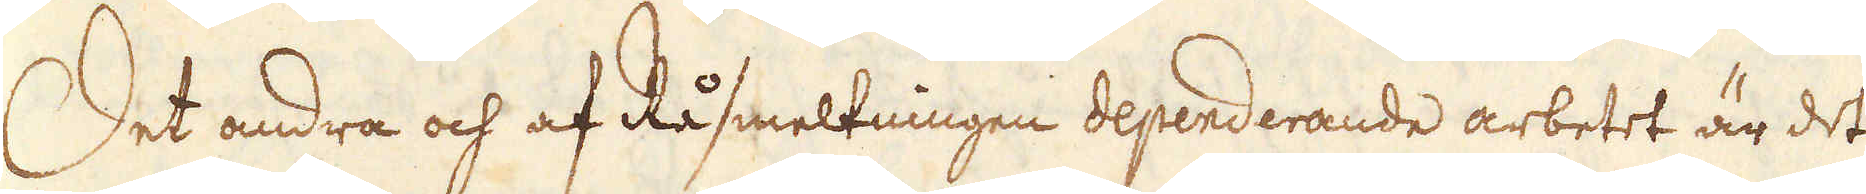Det andra och af Råsmeltningen dependerande arbetet är det
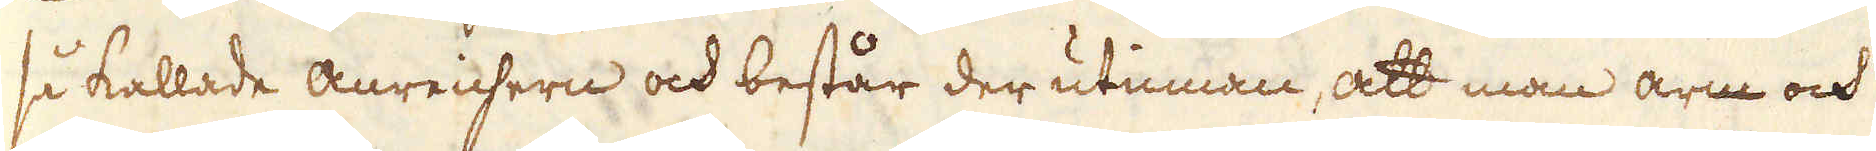så kallade anreichern och består der utinnan, att man arm och
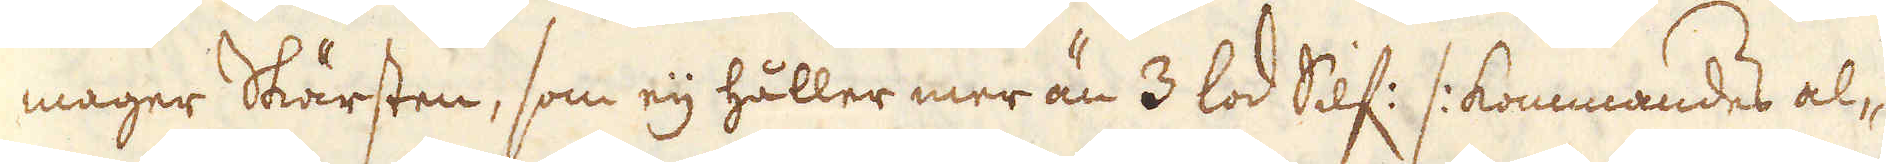mager Skärsten, som eij håller mer än 3 lod Silf: /: kommandes al-
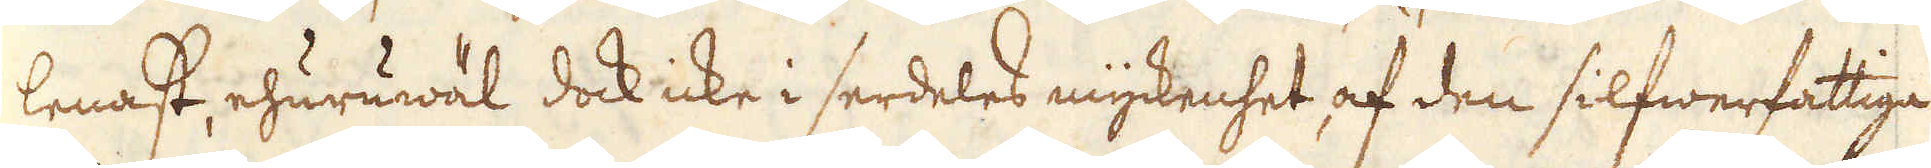lenast, ehuruwäl dock icke i serdeles myckenhet af den silfwerfattiga
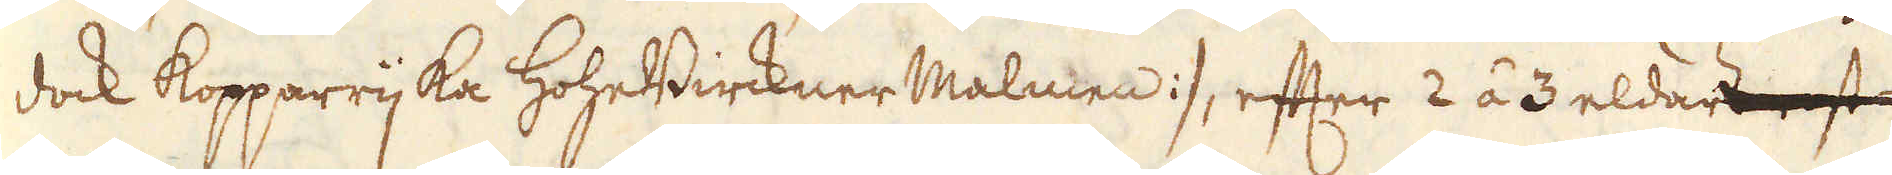dock kopparrijka HoheBircknerMalmen :/, efter 2 á 3 eldar
